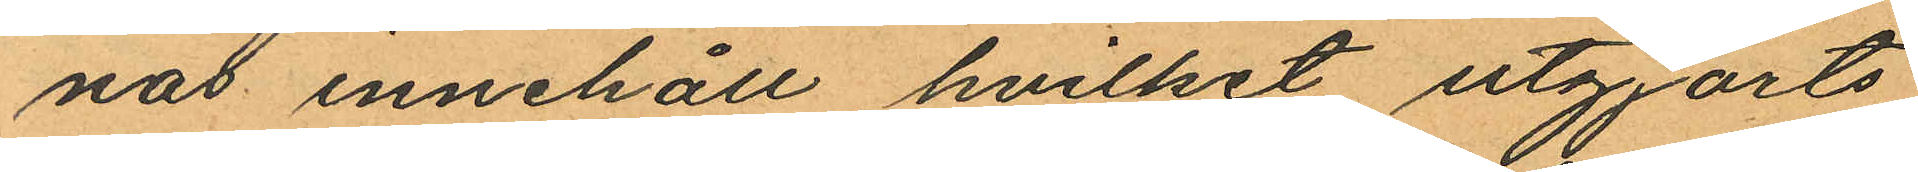nas innehåll hvilket utgjorts
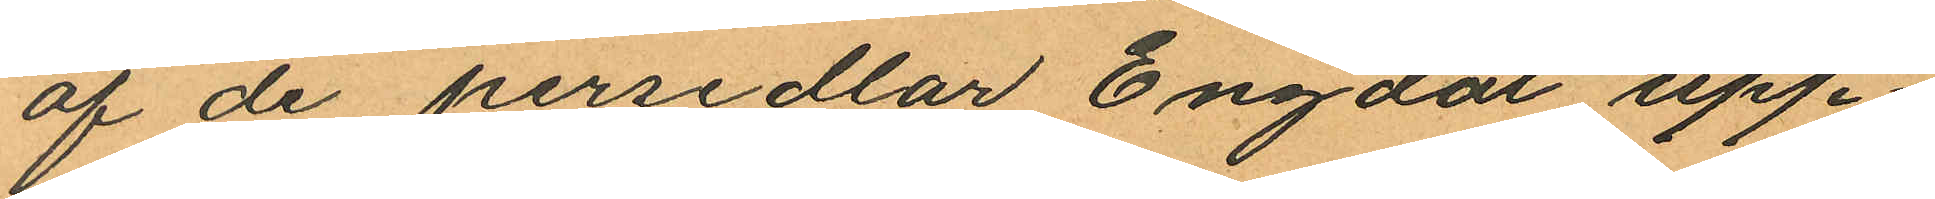af de persedlar Engdal upp¬
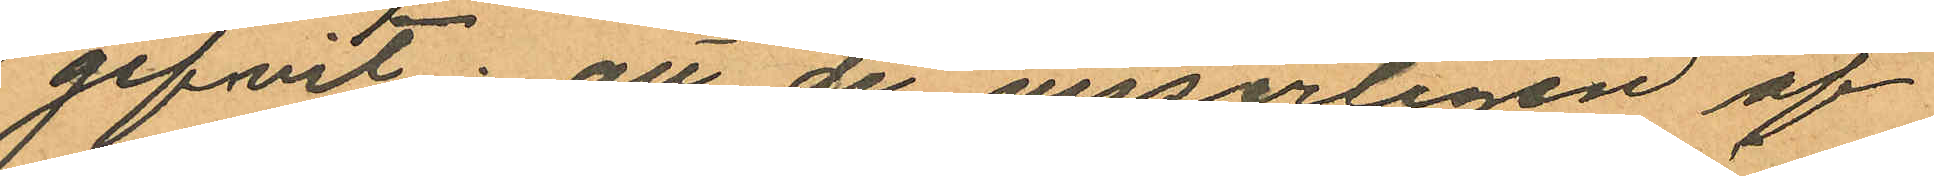gifvit: att de visserligen af
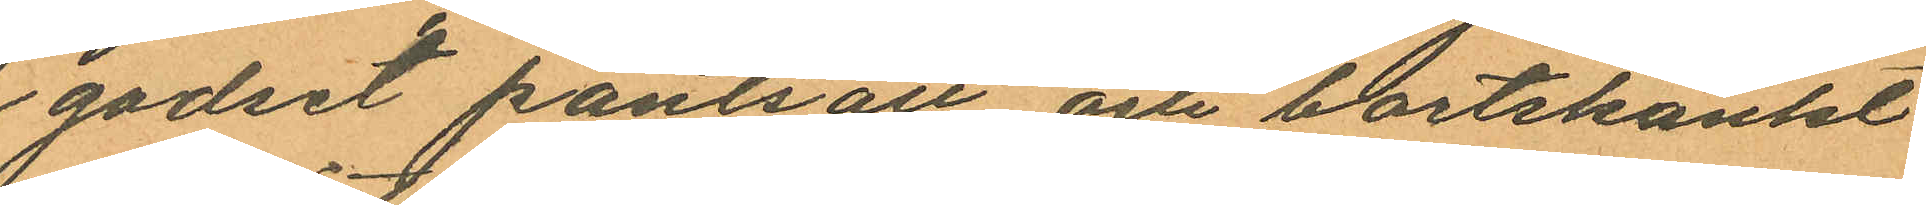godset pantsatt och bortskänkt
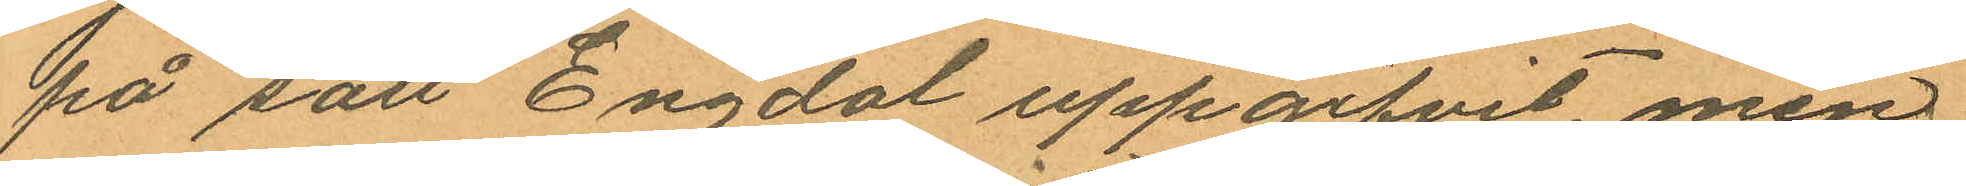på sätt Engdal uppgifvit, men
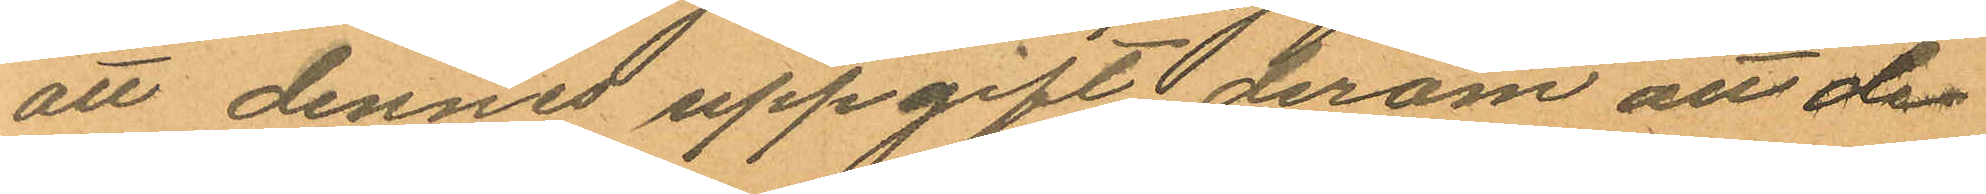att dennes uppgift derom att de
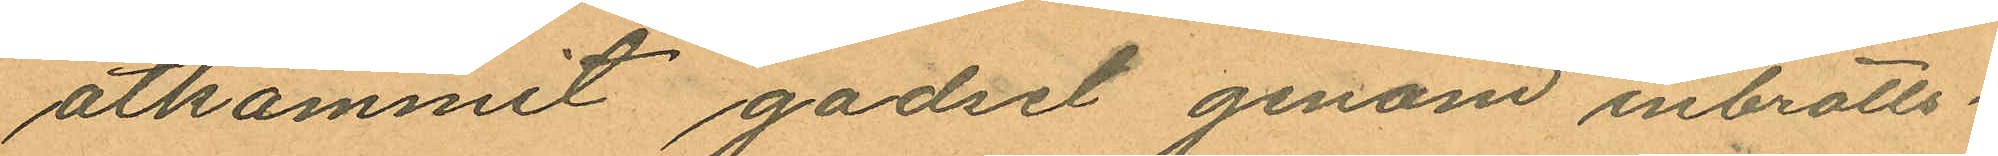åtkommit godset genom inbrotts¬
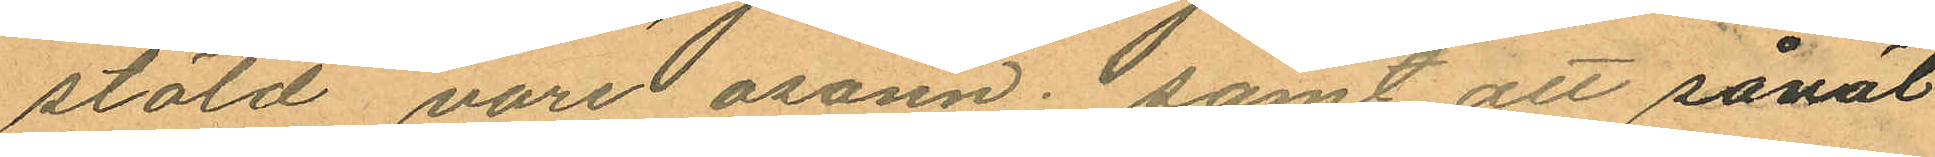stöld vore osann; samt att såväl
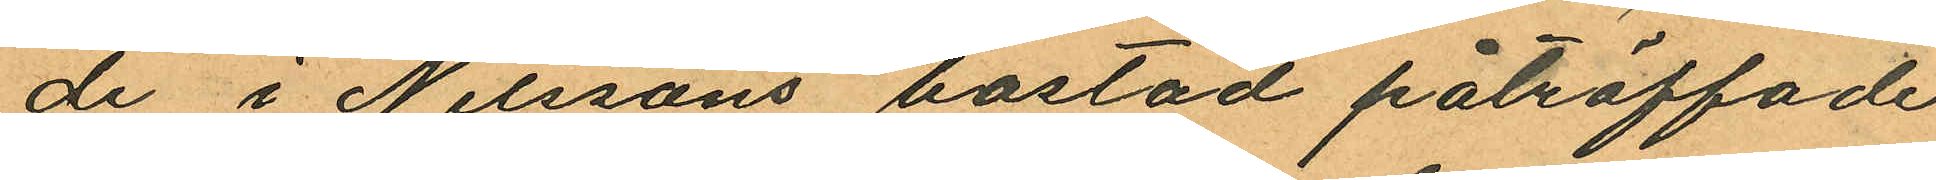de i Nilssons bostad påträffade
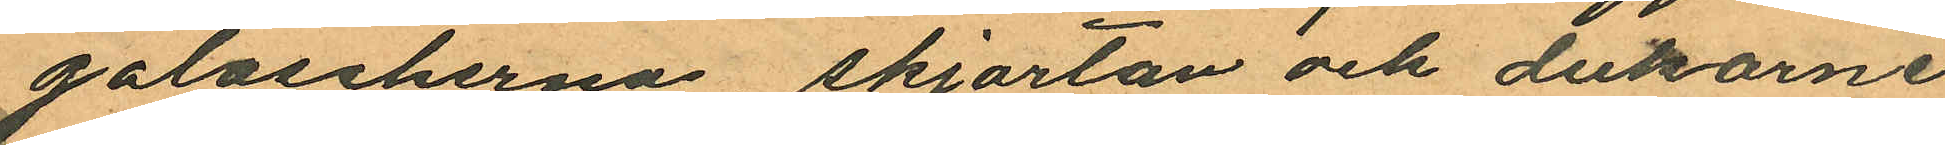galoscherna, skjortan och dukarne
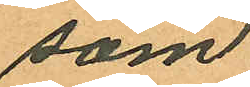som
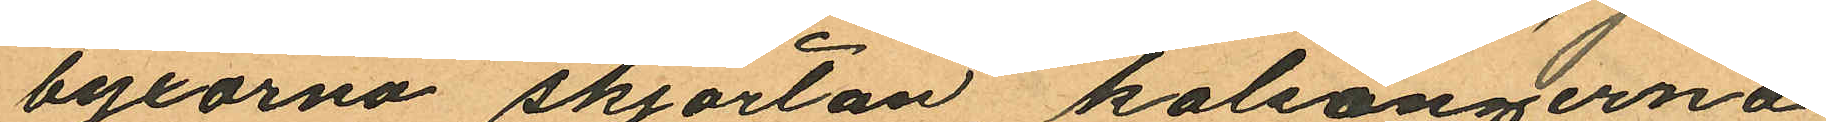byxorna skjortan kalsongerna
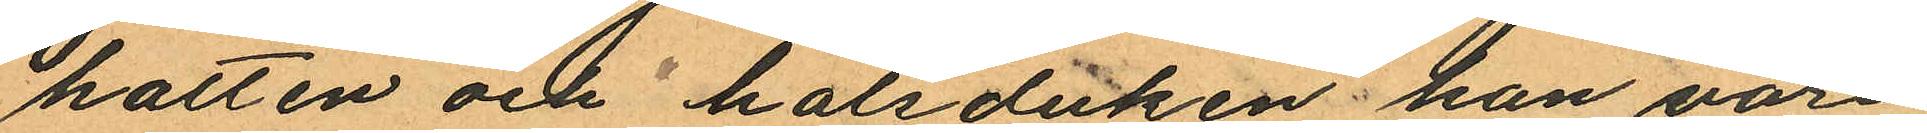hatten och halsduken han vore
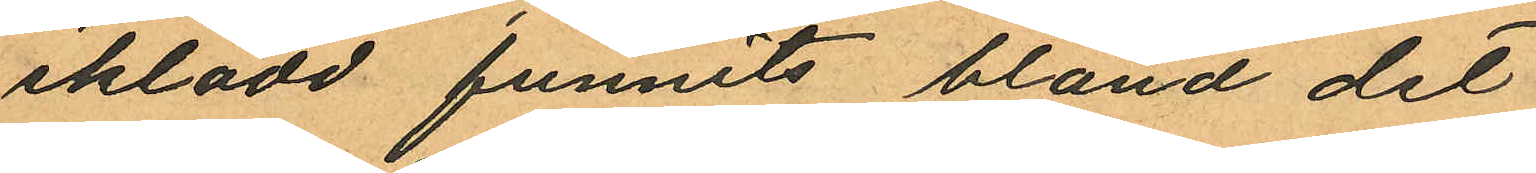iklädd funnits bland det
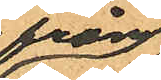från
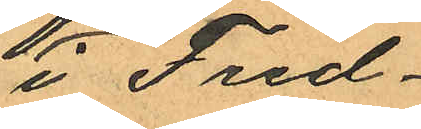i Fred¬
